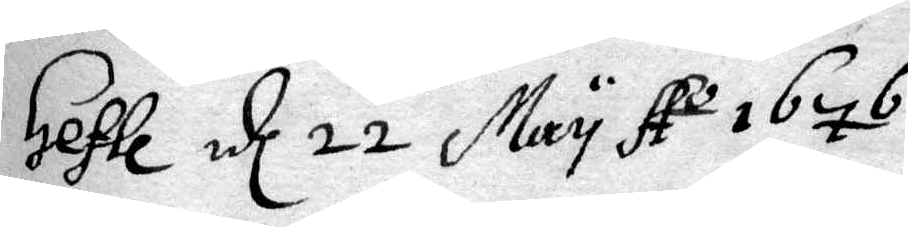Gefle d 22 may Ao 1767
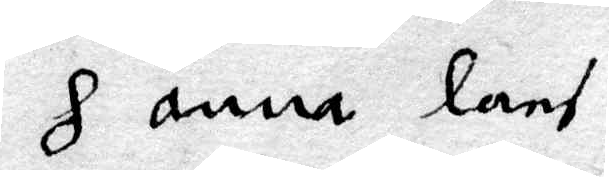H Anna lans
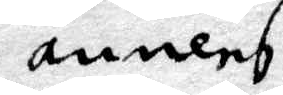annens
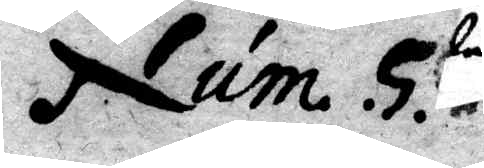Num. 5.
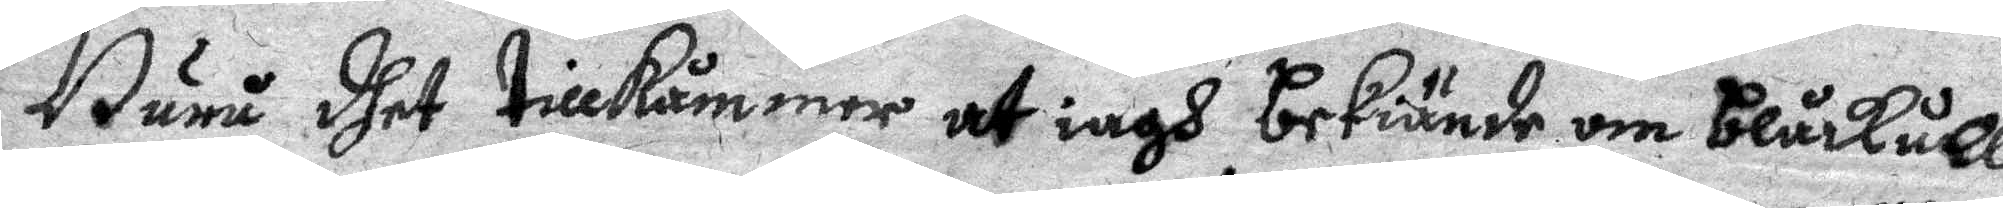Huru dhet tillkåmmen at iagh bekiände om blåkulla¬
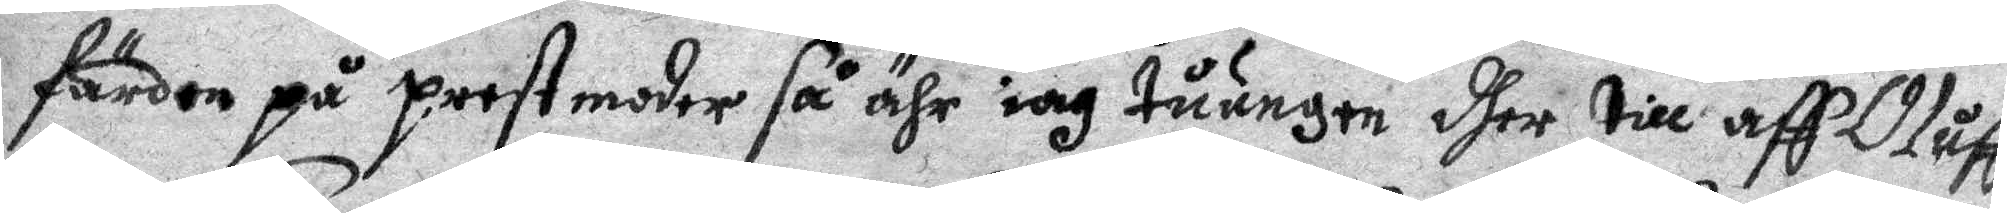färden på prestmoder så ähr iag tåungen dher till aff Oluff
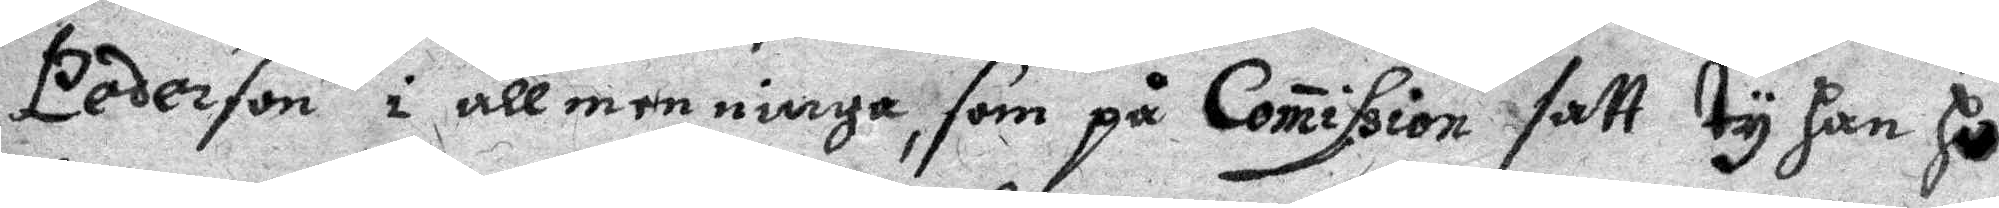Pederson i allmenninge, som på Comission satt ty Han Ho¬
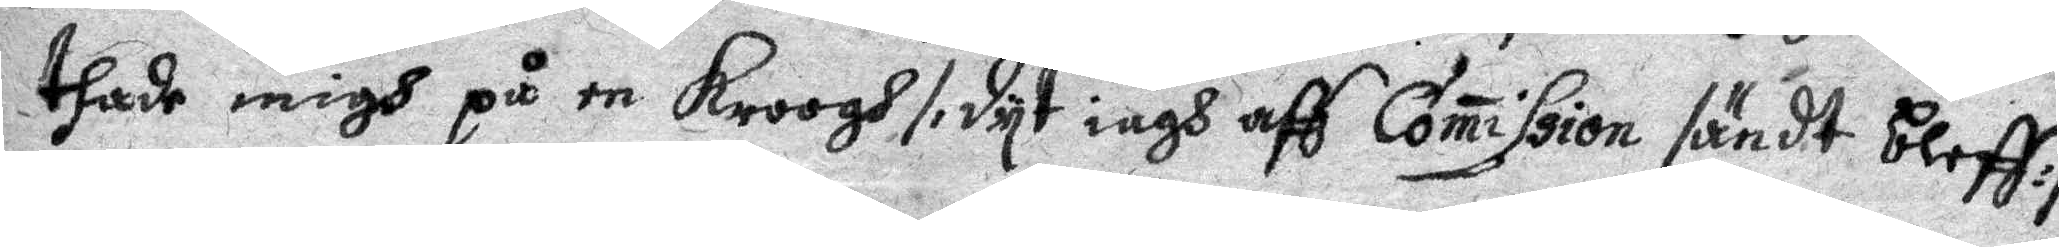thade migh på en kroogh /: dyt iagh aff Comission sändt bleff :/
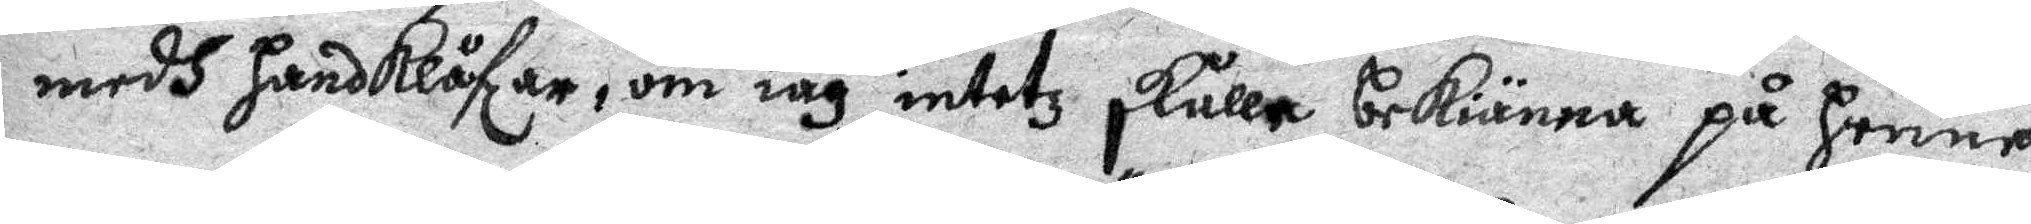medh Handklåfzar, om iag intetz skulle bekiänna på Henne
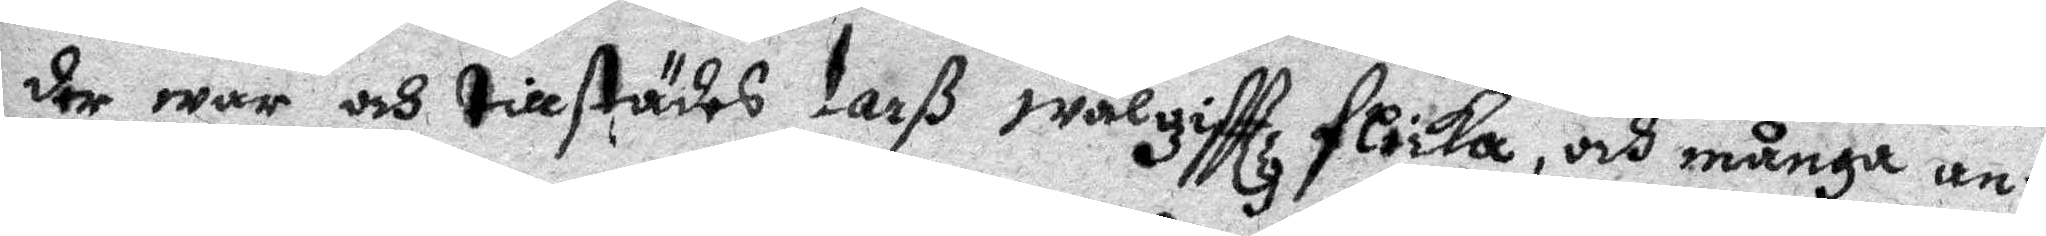der war och tillstädes Larß wälgifttz flicka, och många an¬
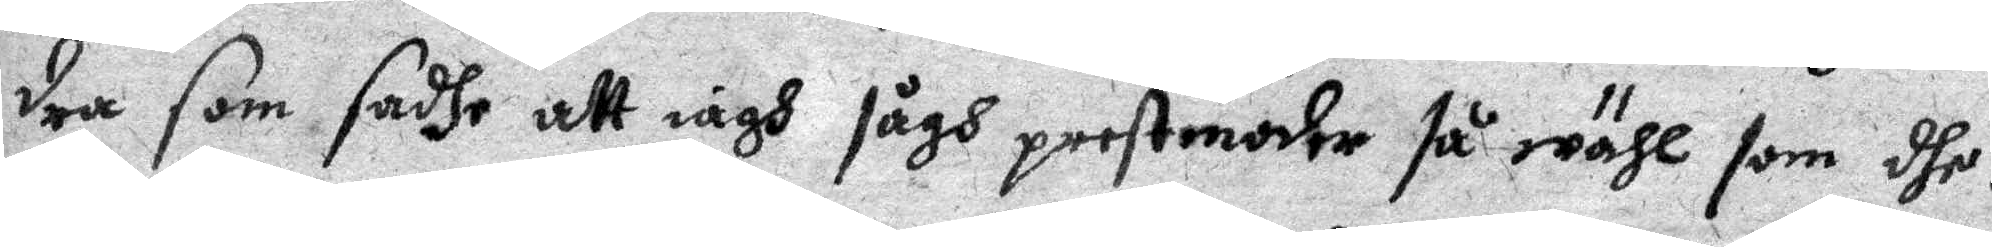dra som sadhe att iagh sågh prestmoder så wähl som dhe.
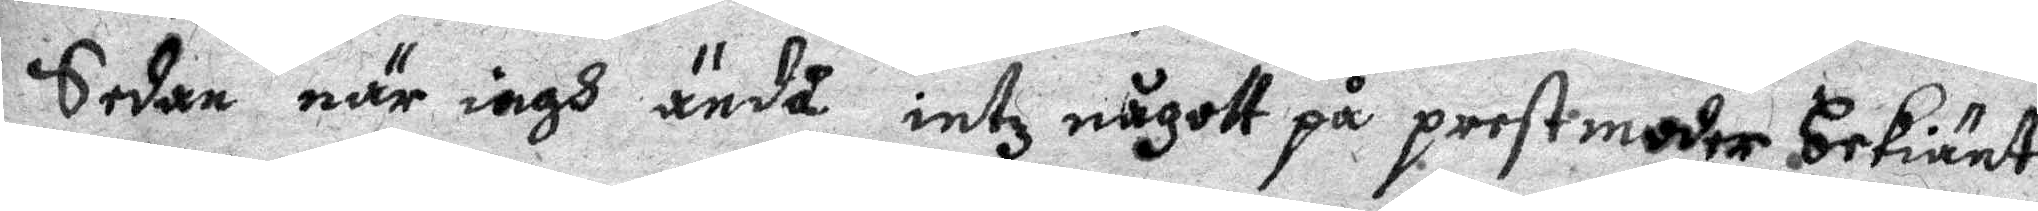sedan när iagh ändå intz någott på prestmoder bekiänt
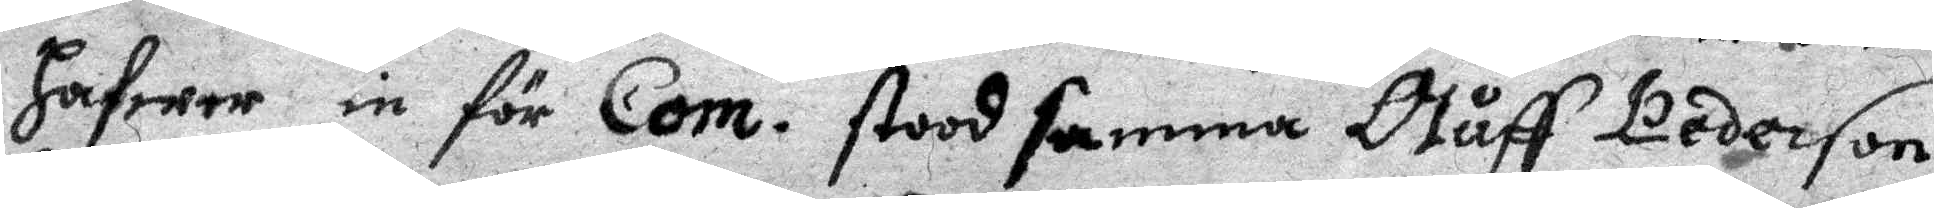Hafwer in för Com. stood samma Oluff Pederson
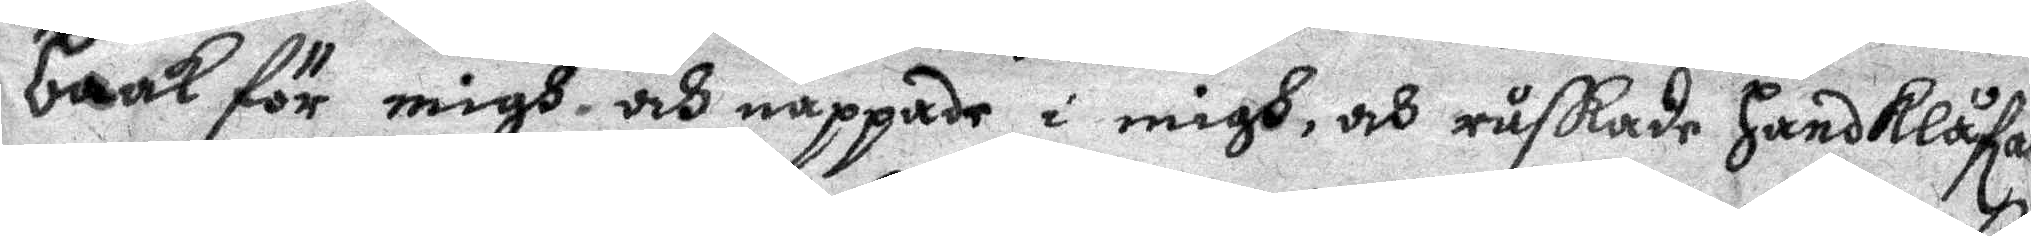baak för migh och nappade i migh, och ruskade Handklåfar¬
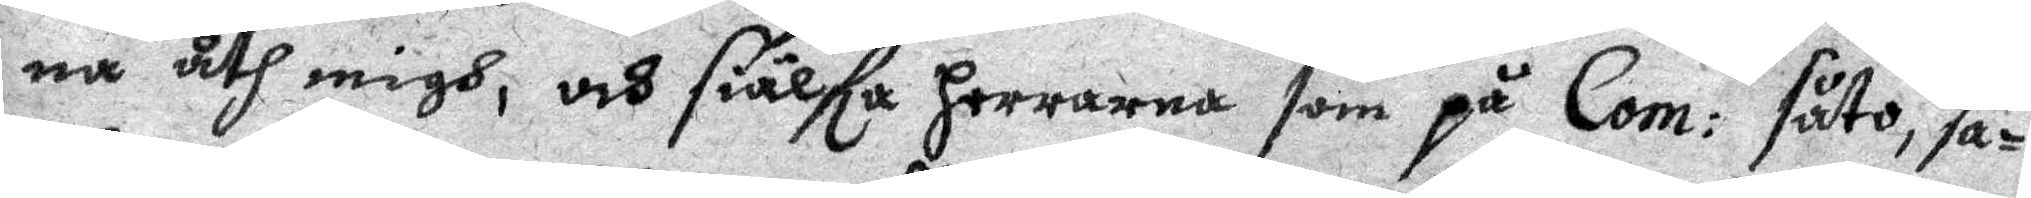na åth migh, och siälfa Herrarna som på Com: såto, sa¬
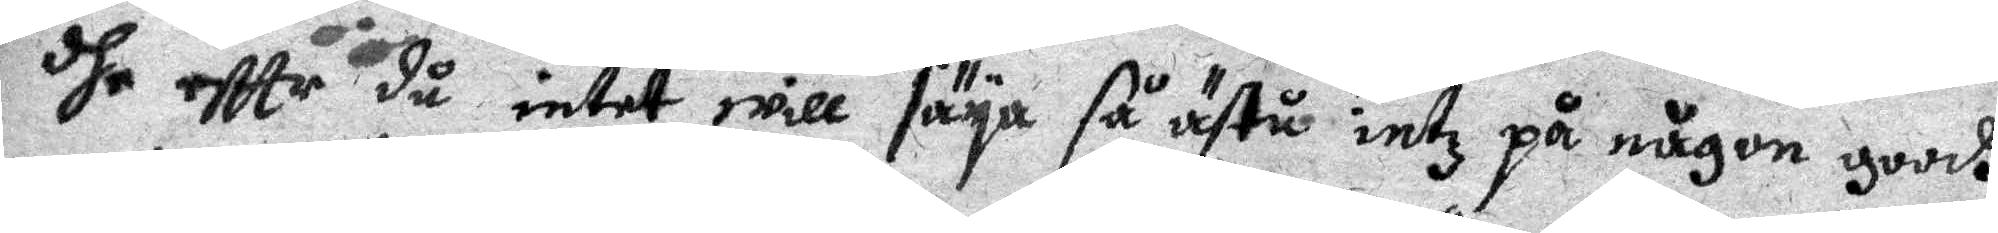dhe eftte du intet will säya så ästu intz på någon goodh
